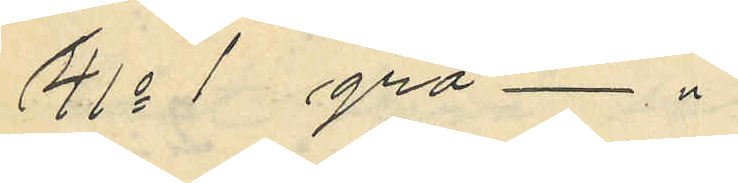41o 1 grå - " -
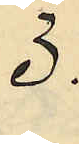3:
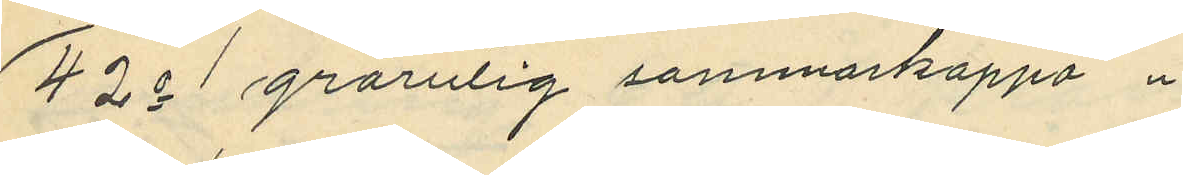42o 1 grårutig sommarkappa
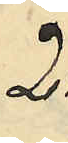2:
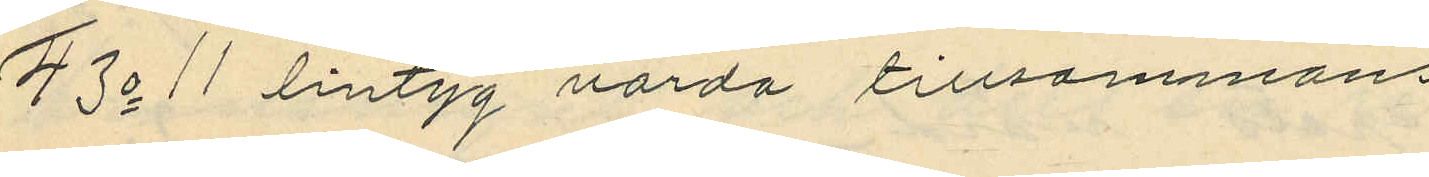43o 11 lintyg värda tillsammans
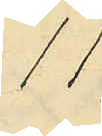11:
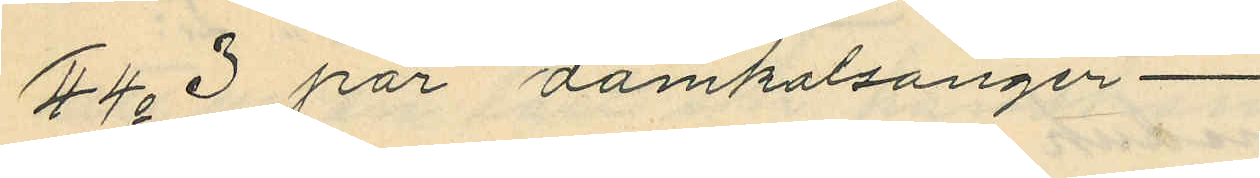44o 3 par damkalsonger
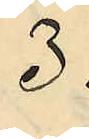3:
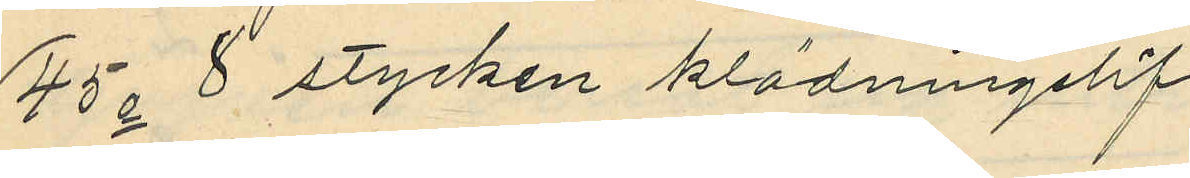45o 8 stycken klädningslif
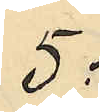5:
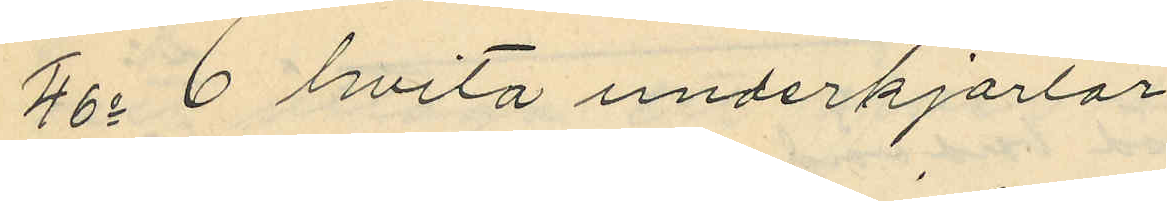46o 6 hvita underkjorlar
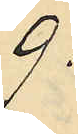9:
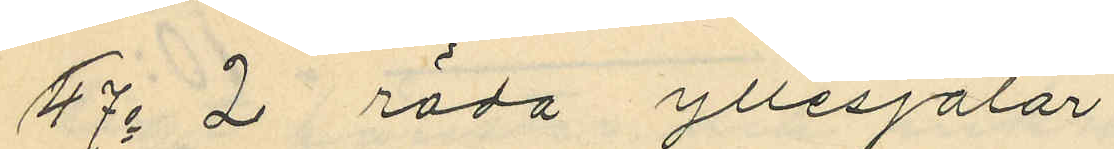47o 2 röda yllesjalar
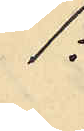1:
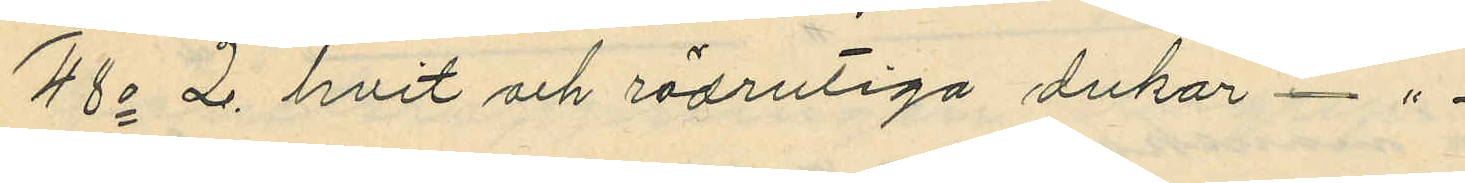48o 2 hvit och rödrutiga dukar - " -
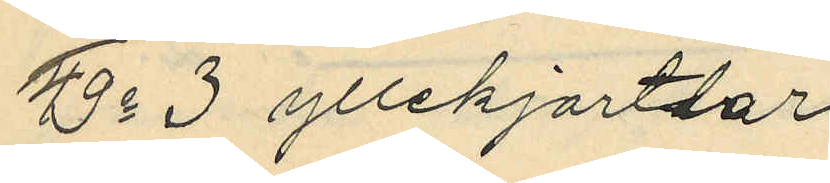49o 3 yllekjortlar
